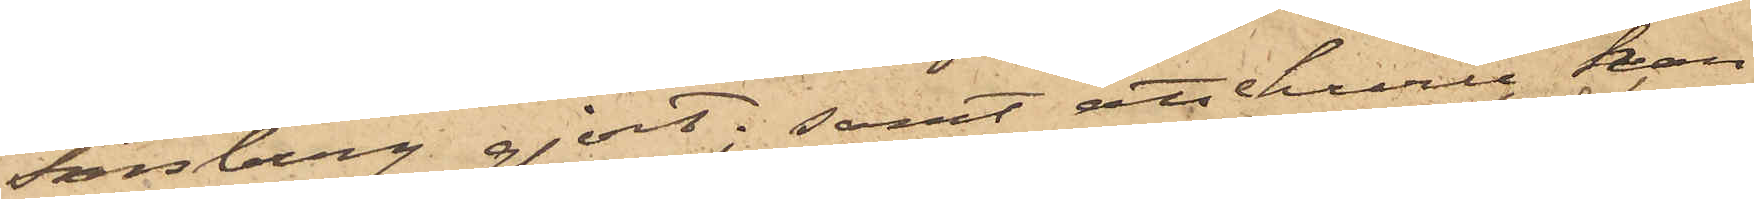Forsberg gjort; samt att ehuru han
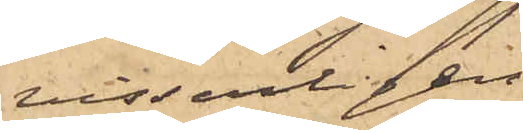visserligen
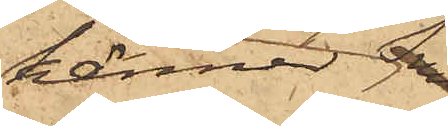känner 
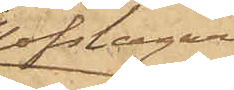Hofslagare¬
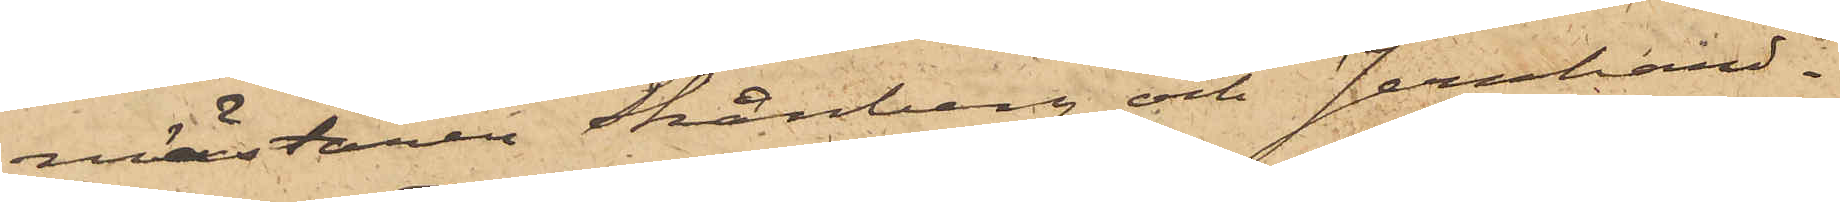mästaren Skånberg och Jernhand¬
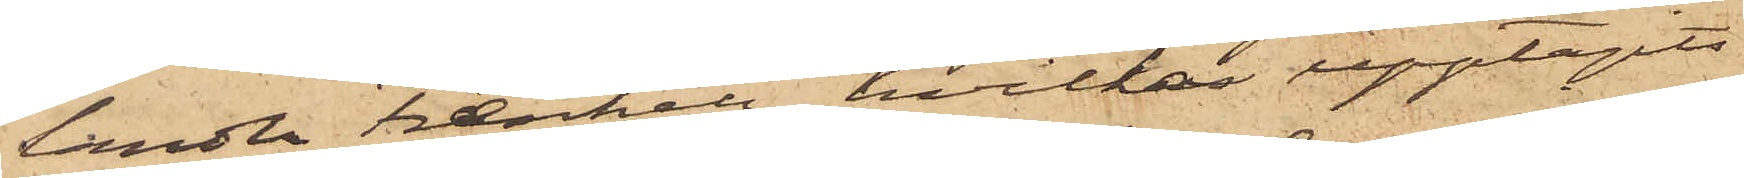landen Frænkel, hvilka upptagits
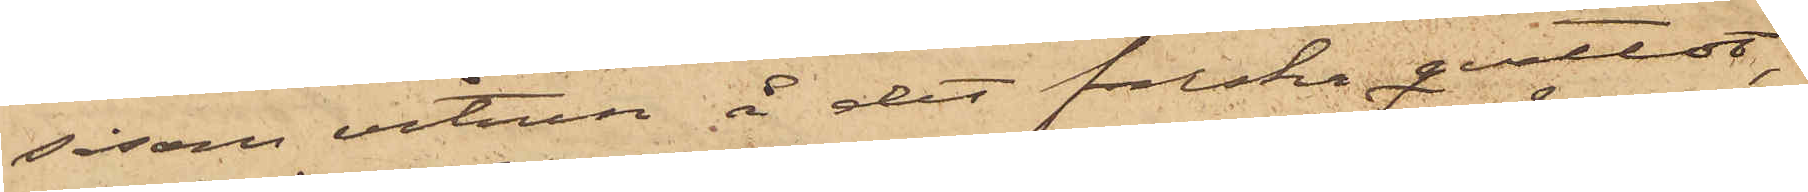såsom vitnen å det falska qvittot,
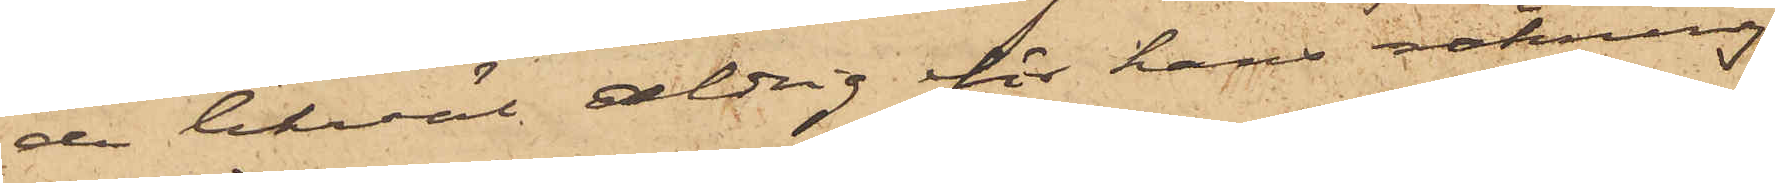de likväl aldrig för hans räkning
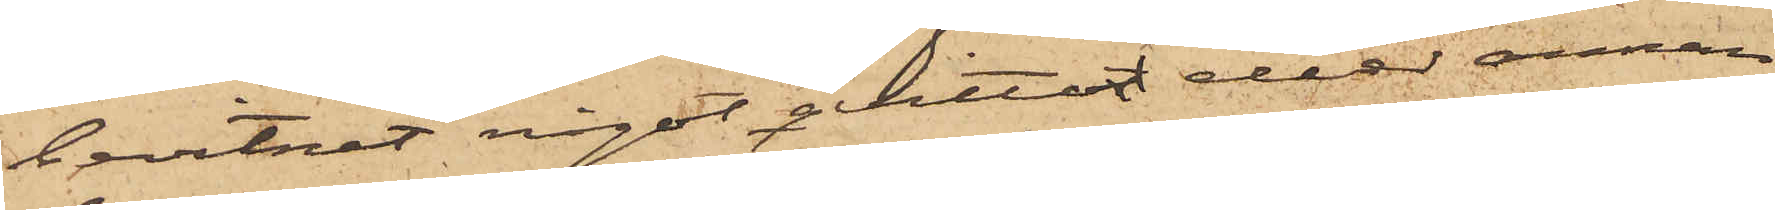bevitnat något qvitto eller annan
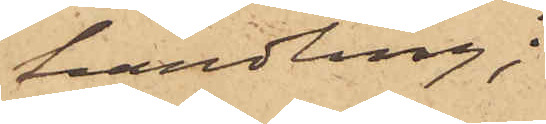handling;
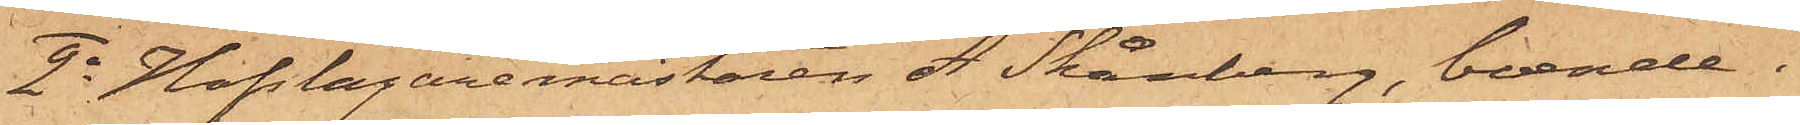2o Hofslagaremästaren A. Skånberg, boende i
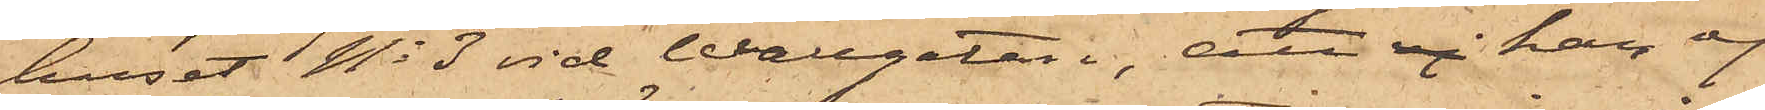huset No 3 vid Wallgatan, att då han ej
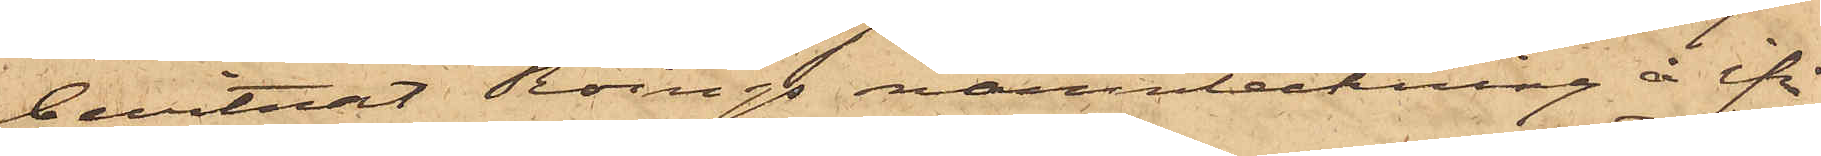bevitnat Röings namnteckning å ifrå¬
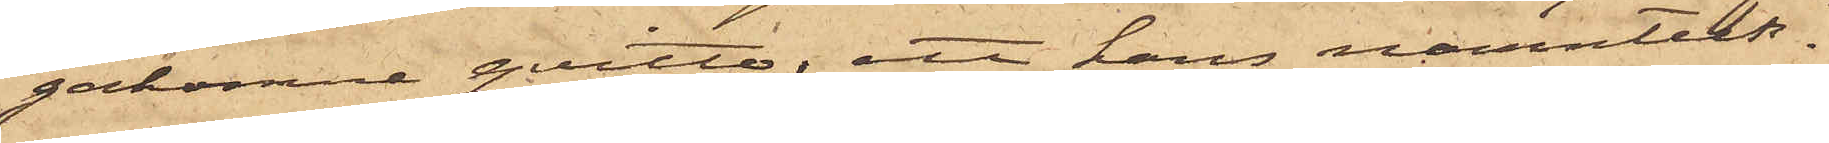gakomne qvitto; att hans namnteck¬
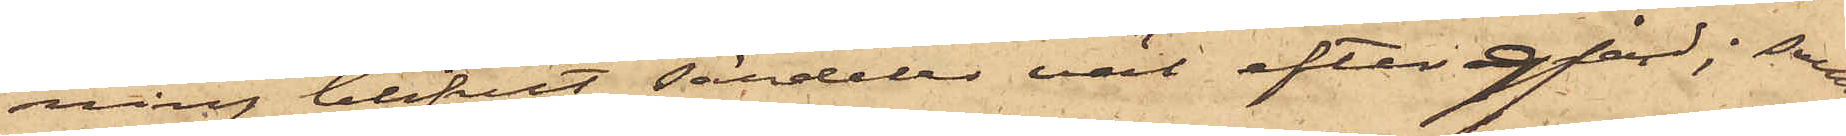ning blifvit särdeles väl eftergjord; samt
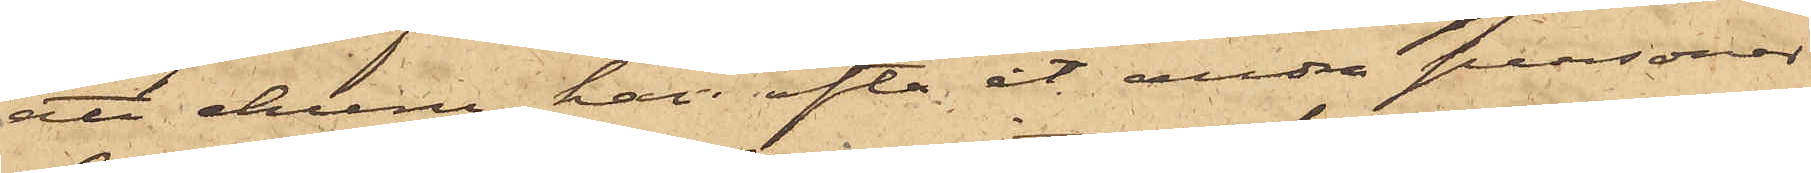att ehuru han ofta åt andra personer
